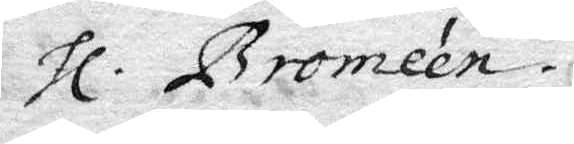hl. Bromeén.
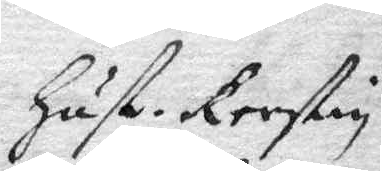Hust. Kerstin
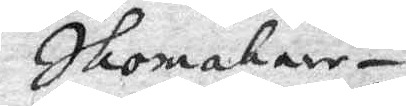Skomakare¬
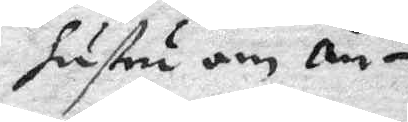hustru om än¬
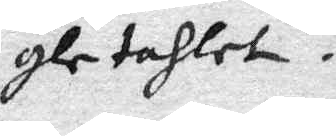gletahlet.
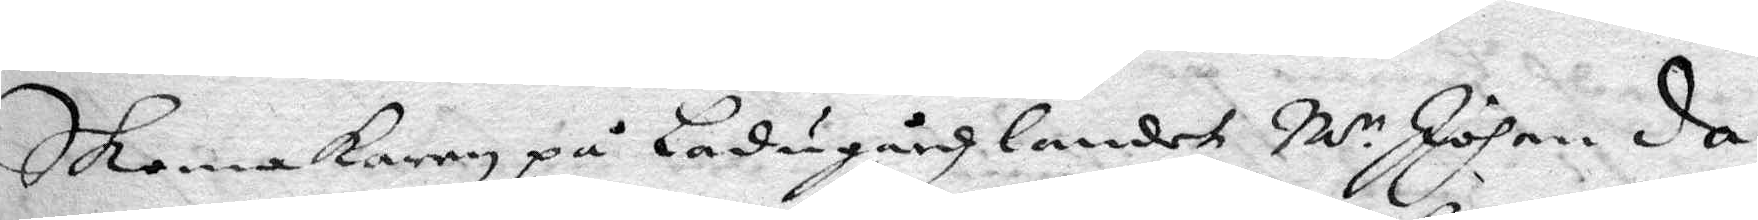Skomakaren på Ladugårdzlandet M:r Johan da¬
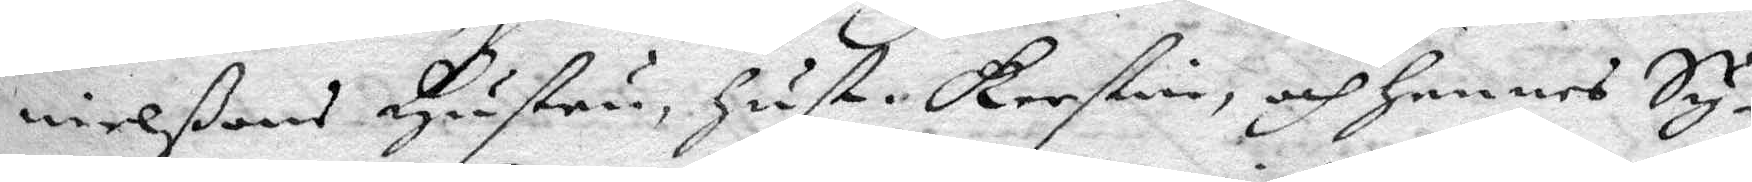nielßons Hustru, hust. Kerstin, och hennes Sy¬
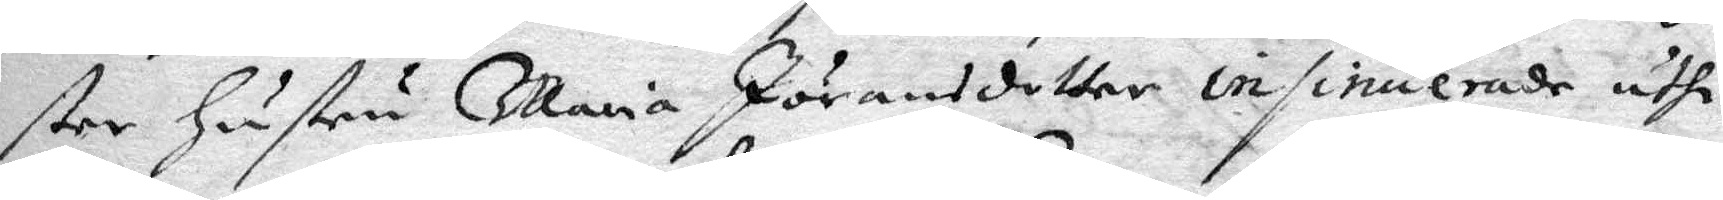ster Hustru Maria Jöransdotter insinuerade uthi
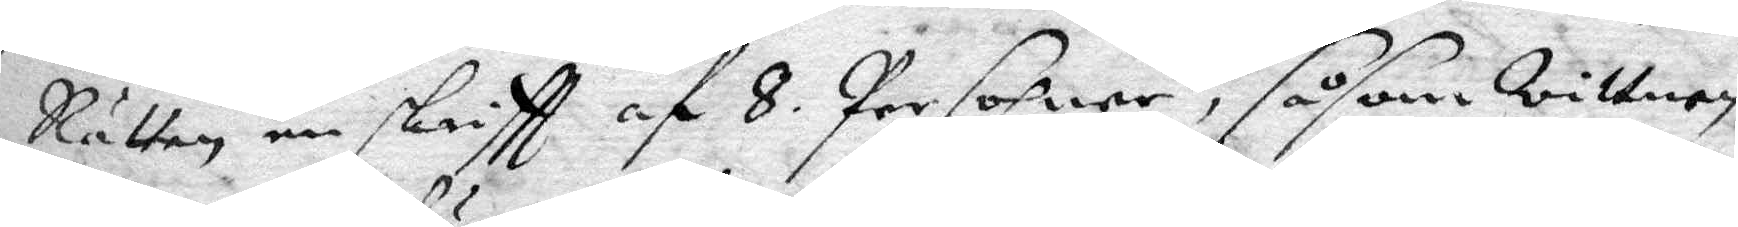Rätten en skriftt af 8. Persohner, såsom wittnen
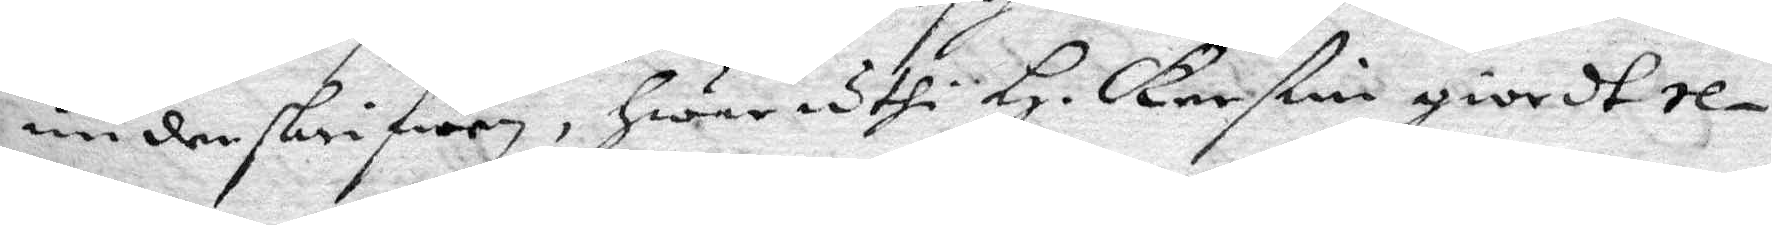underskrifwen, hwar uthi H. Kerstin giordt re¬
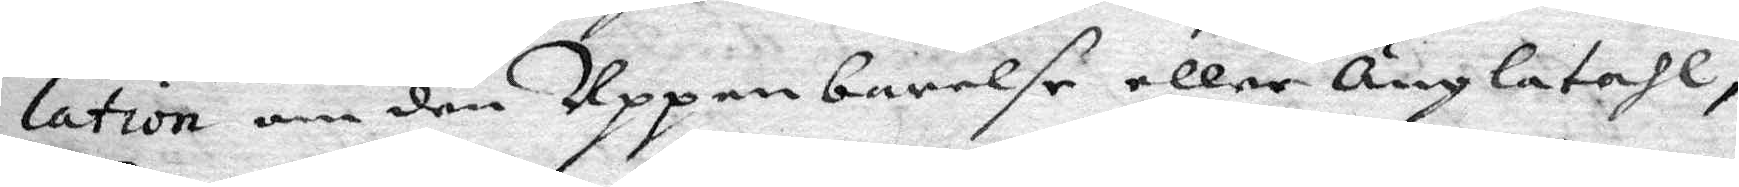lation om den Uppenbarelse eller Änglatahl,
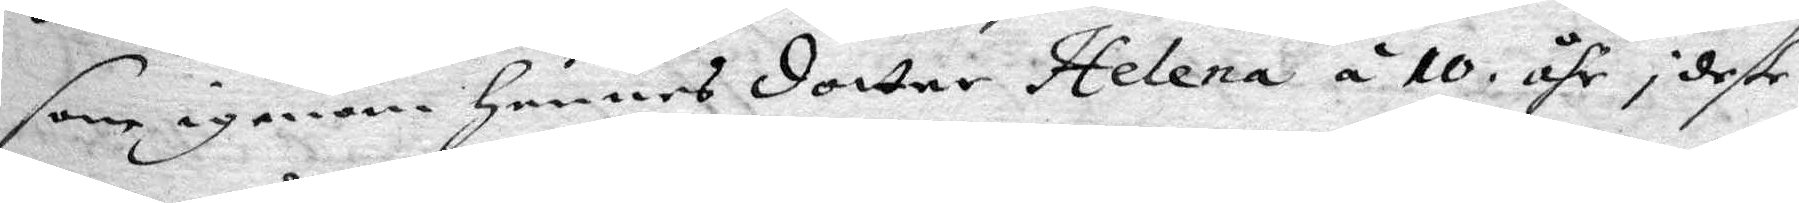som igenom Hennes dotter Helena á 10 åhr i deße
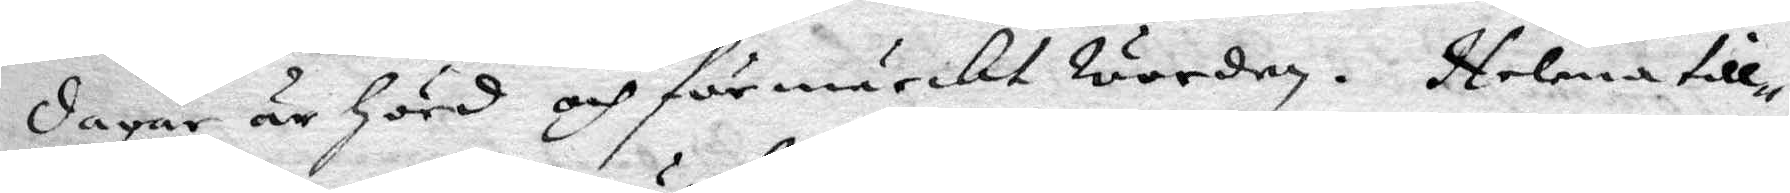dagar är Hörd och förmärckt worden. Helena till¬
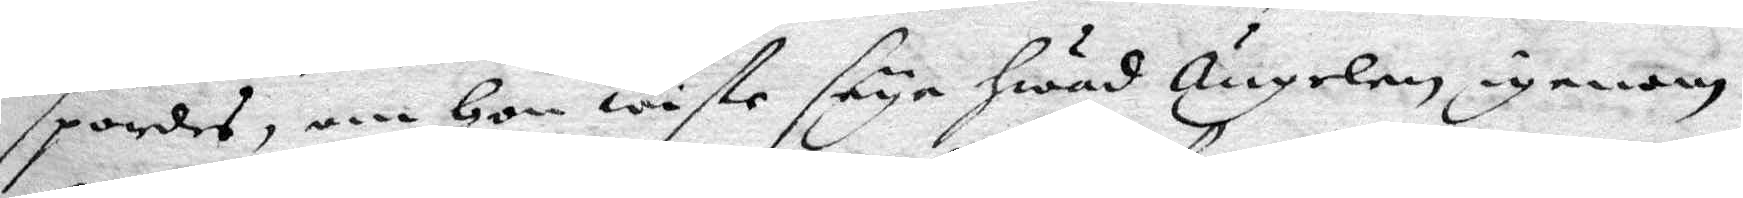spordes, om Hon wiste säya hwad Ängelen igenom
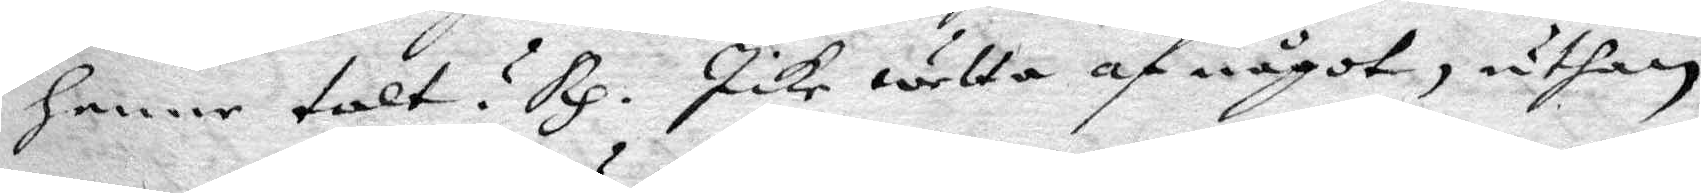henne talt? Rp. Icke wetta af något, uthan
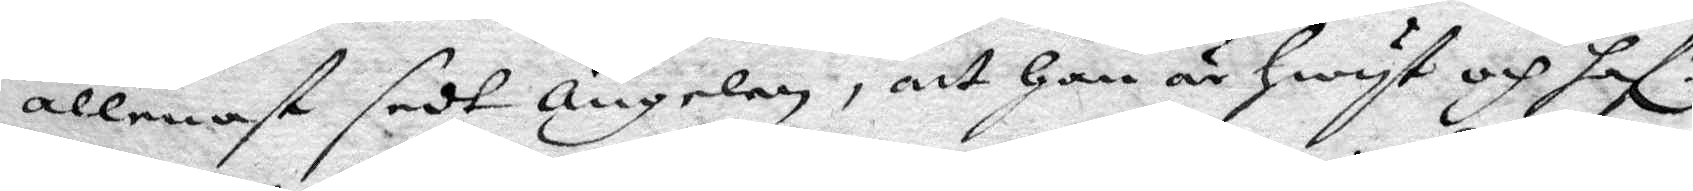allenast sedt ängelen, att Han är hwyt och haf.r
